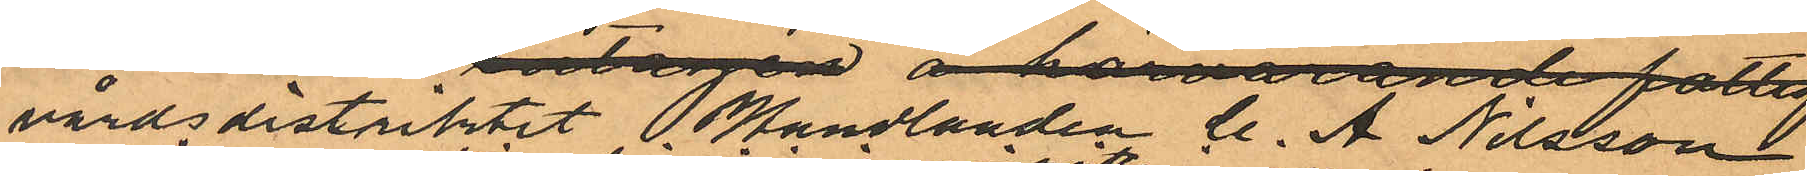vårdsdistriket Handlanden C. A. Nilsson
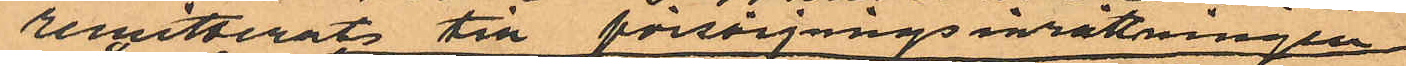remitterats till försörjnngsinrättningeen
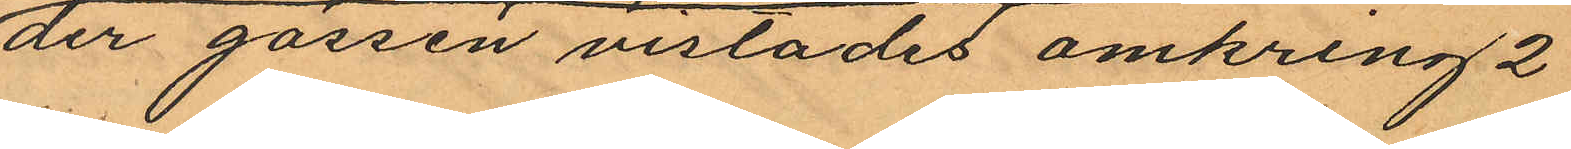der gossen vistades omkring 2
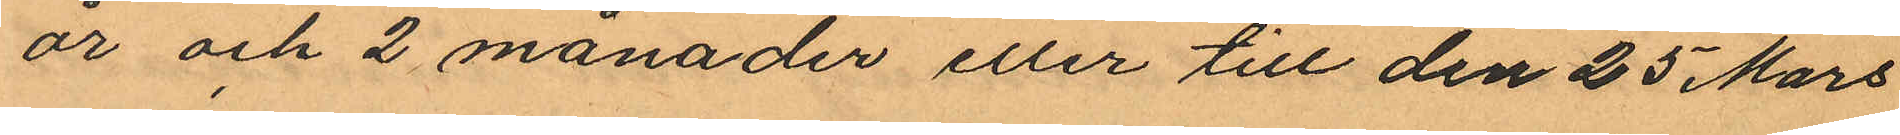år och 2 månader eller till den 25 Mars
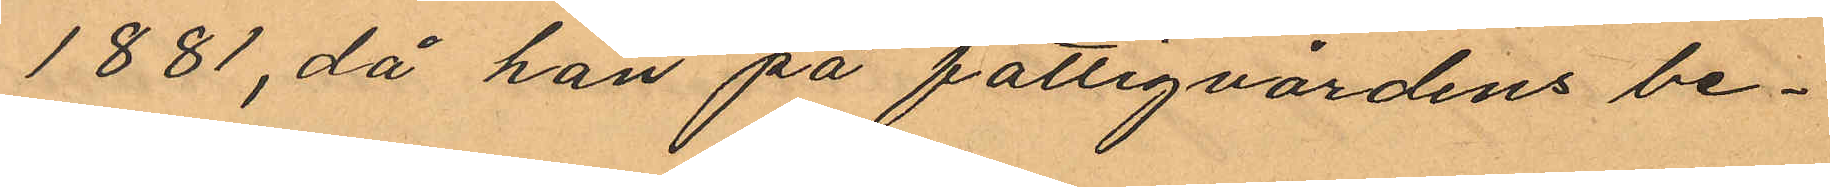1881, då han på fattigvårdens be¬
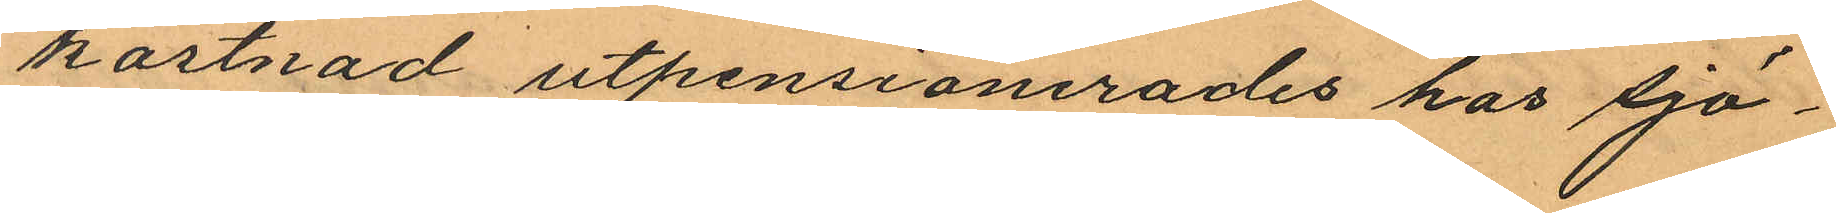kostnad utpensionerades hos Sjö¬
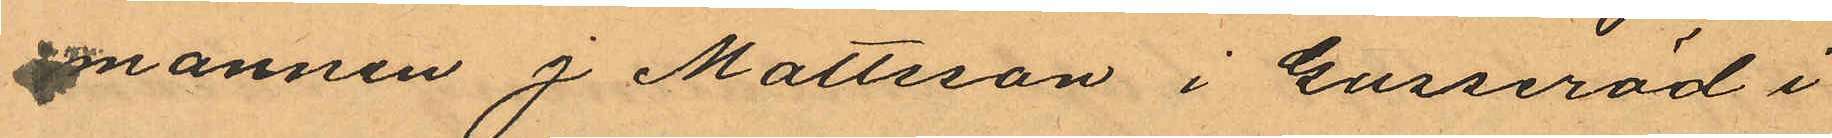mannen J Mattsson i Gusseröd i
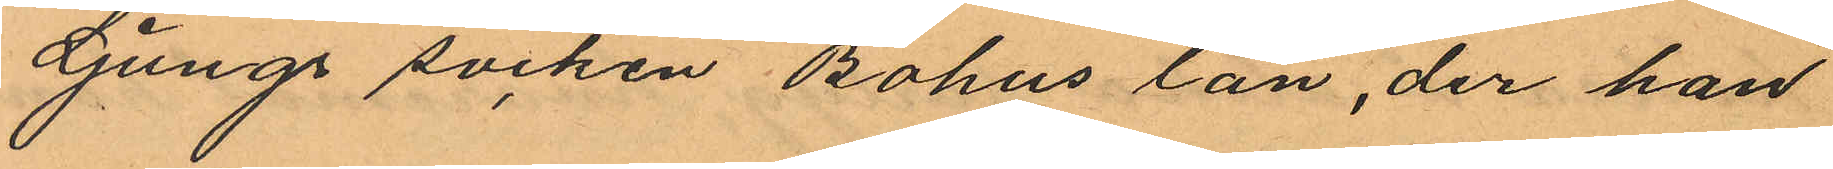Ljungs socken Bohus län, der han
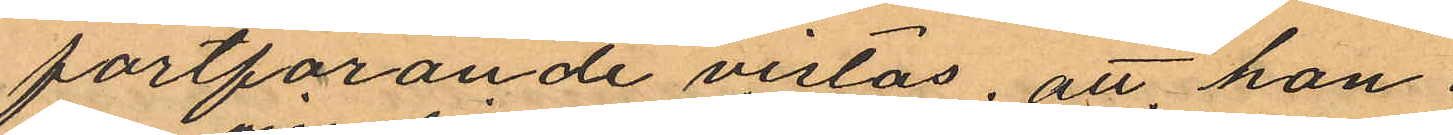fortfarande vistas, att, hon
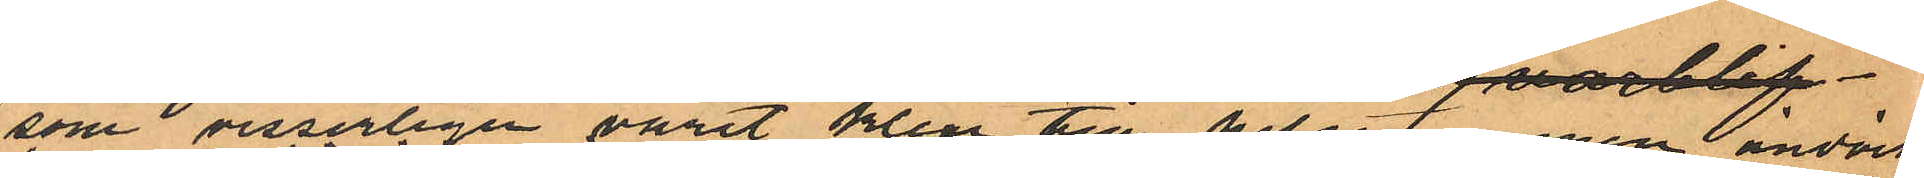som visserligen varit klen till helsan men ändock
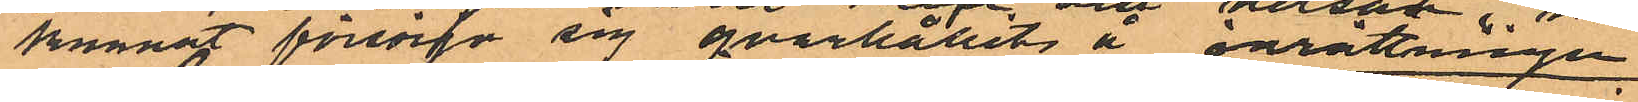kunnat försörja sig qvarhållits å inrättningen
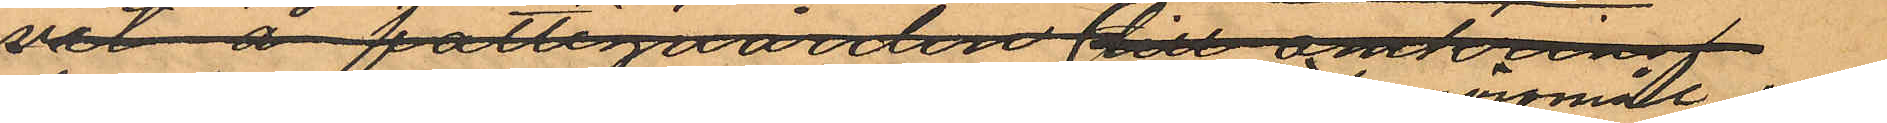der hon sysselsatts dels med köksgöromål och
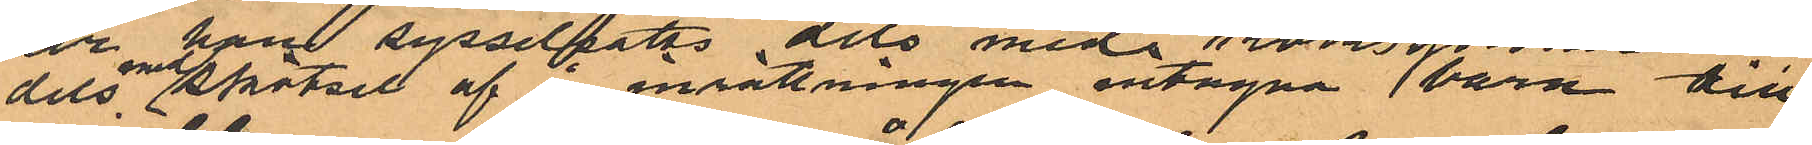dels med skötsel af å inrättningen intagna barn till
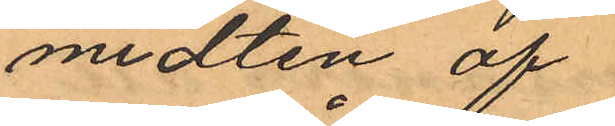midten af
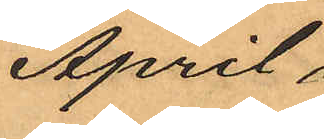April
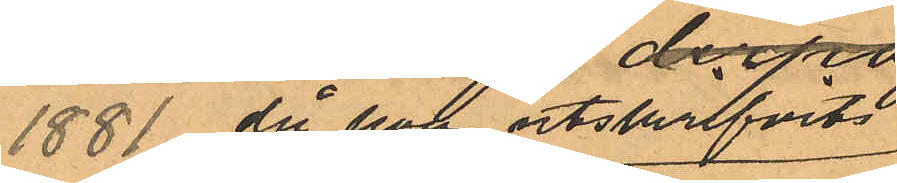1881 då hon utskrifvits
